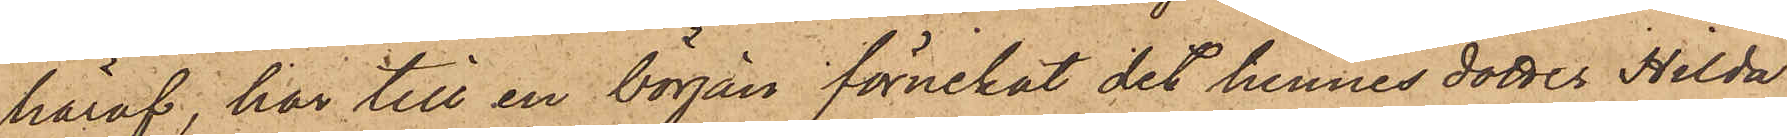häraf, har till en början förnekat det hennes dotter Hilda
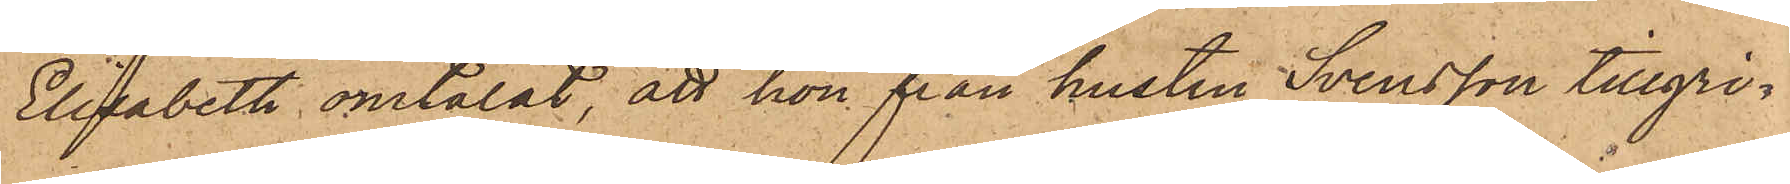Elisabeth omtalat, att hon från hustru Svensson tillgri¬
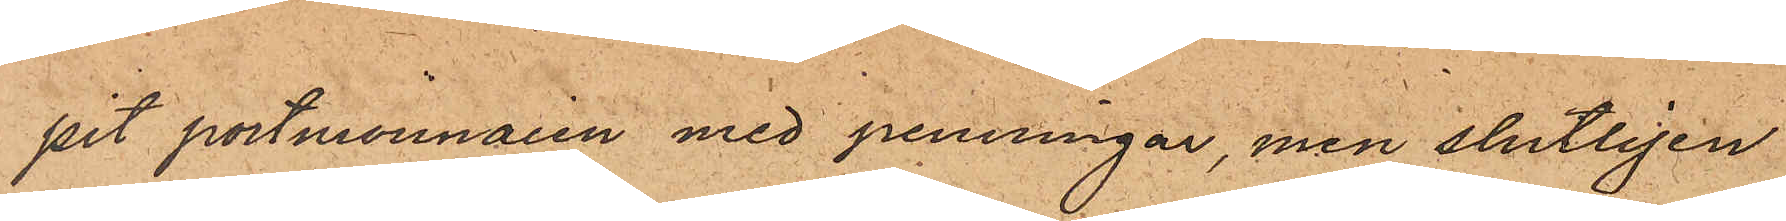pit portmonnaien med penningar, men slutligen
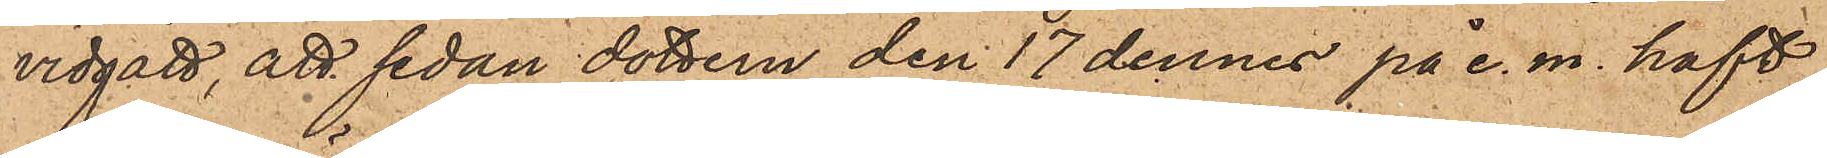vidgått, att sedan dottern den 17 dennes på e. m. haft
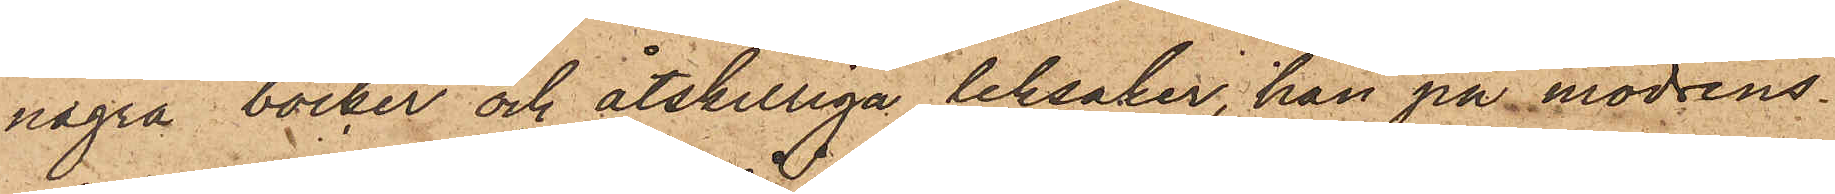några böcker och åtskilliga leksaker, hon på modrens
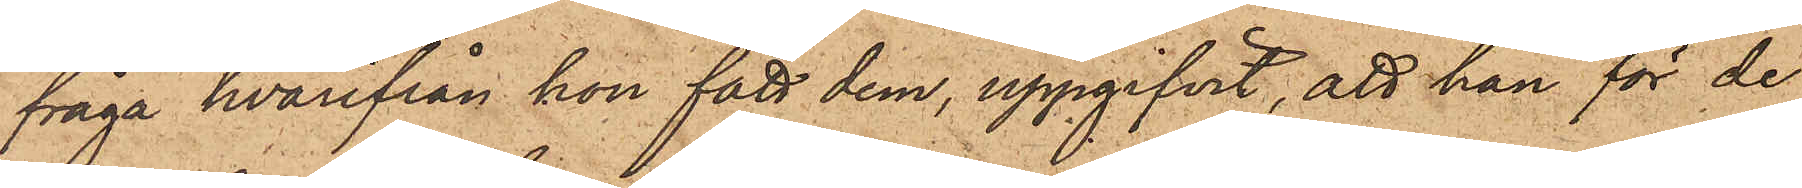fråga hvarifrån hon fått dem, uppgifvit, att hon för de
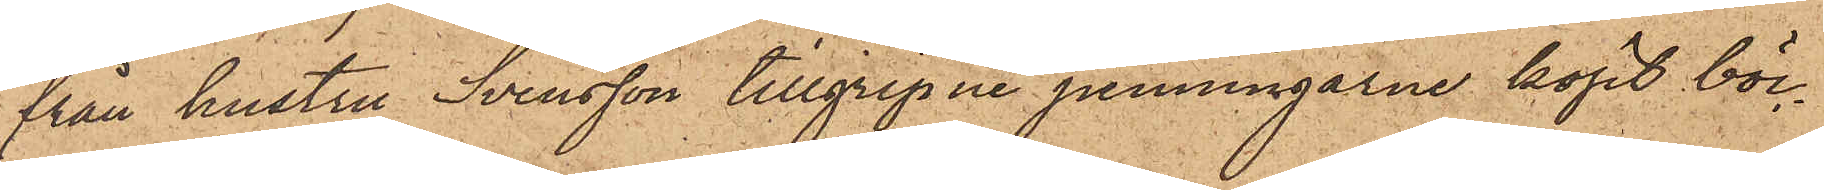från hustru Svensson tillgripne penningarne köpt böc¬
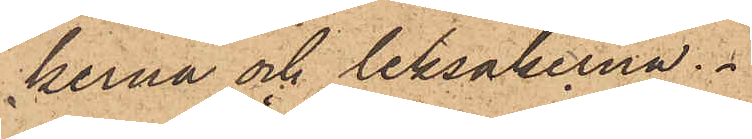kerna och leksakerna.
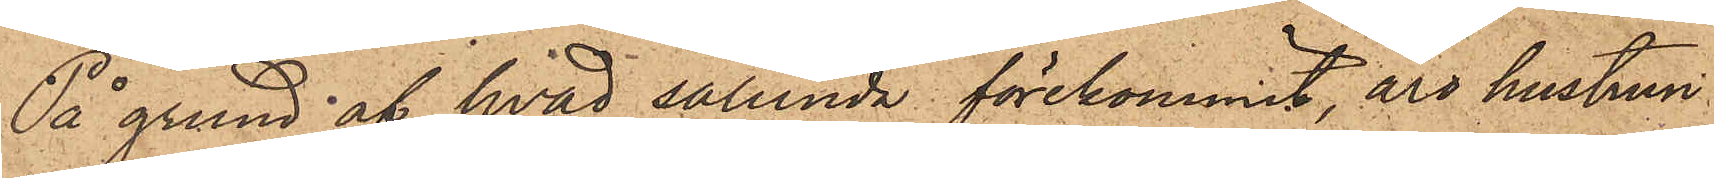På grund af hvad sålunda förekommit, äro hustrun
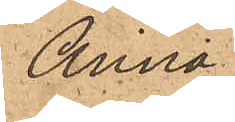Anna
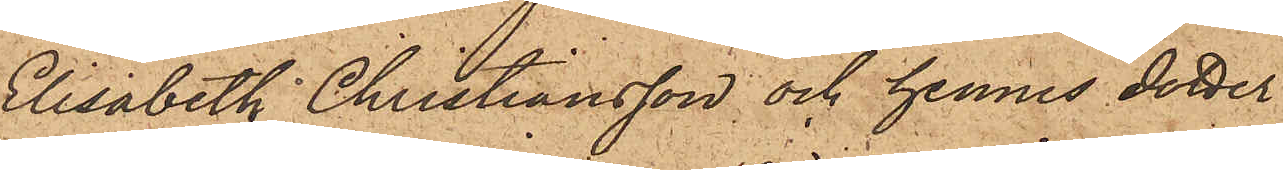Elisabeth Christiansson och hennes dotter
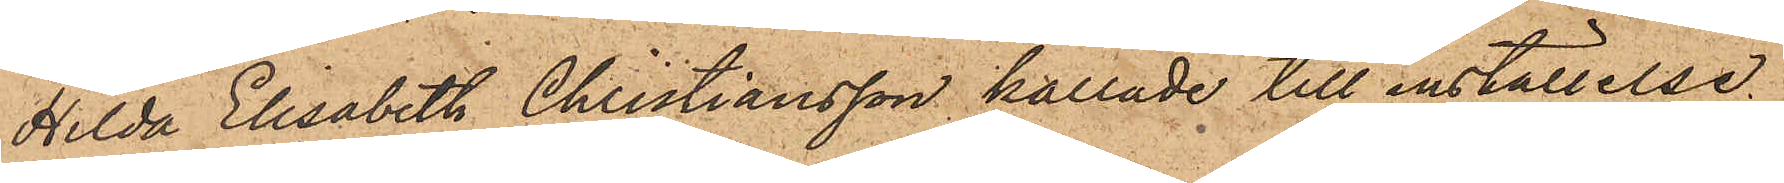Hilda Elisabeth Christiansson kallade till inställelse
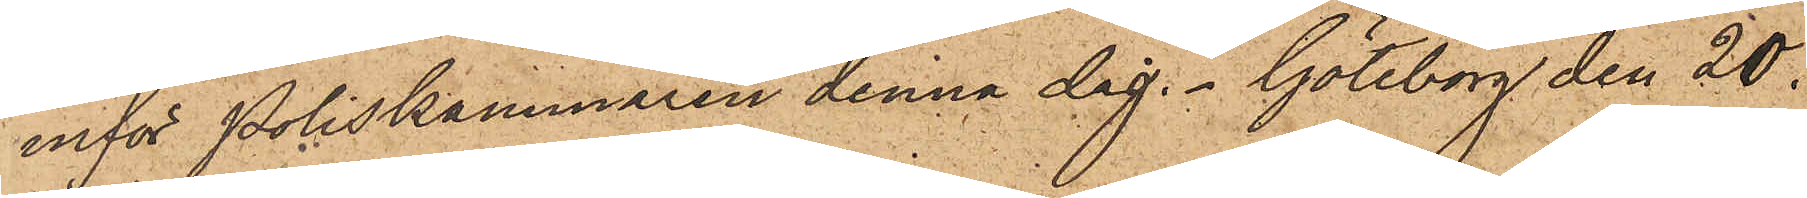inför Poliskammaren denna dag. Göteborg den 20 
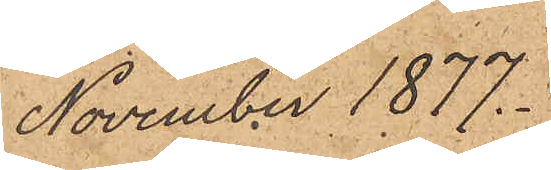November 1877.
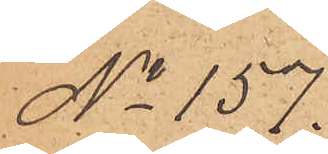No 157.
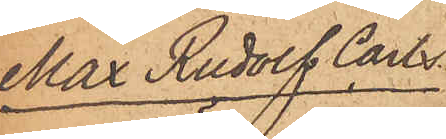Max Rudolf Carls¬
